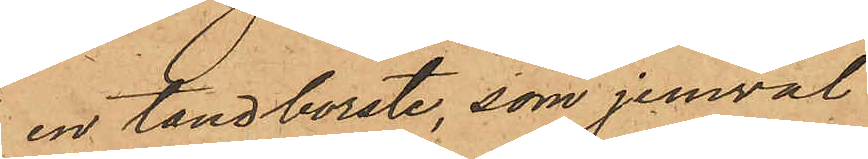en tandborste, som jemväl
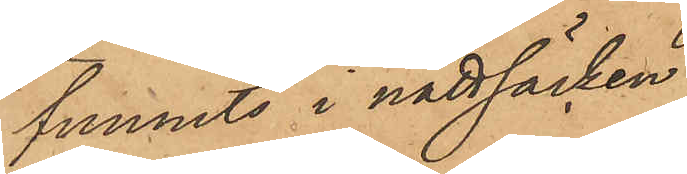funnits i nattsäcken,
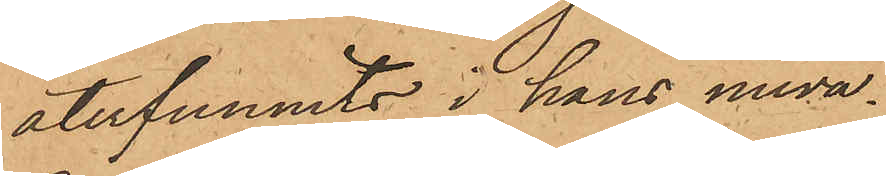återfunnits i hans nuva¬
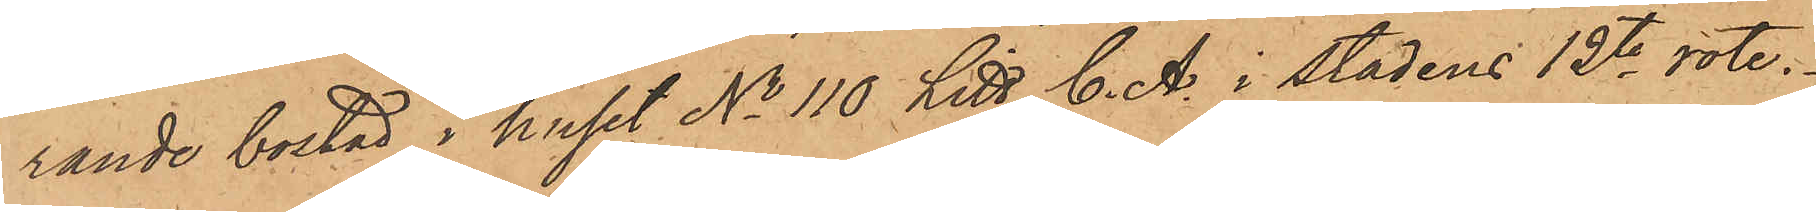rande bostad i huset No 110 Litt C. A. i stadens 12te rote.
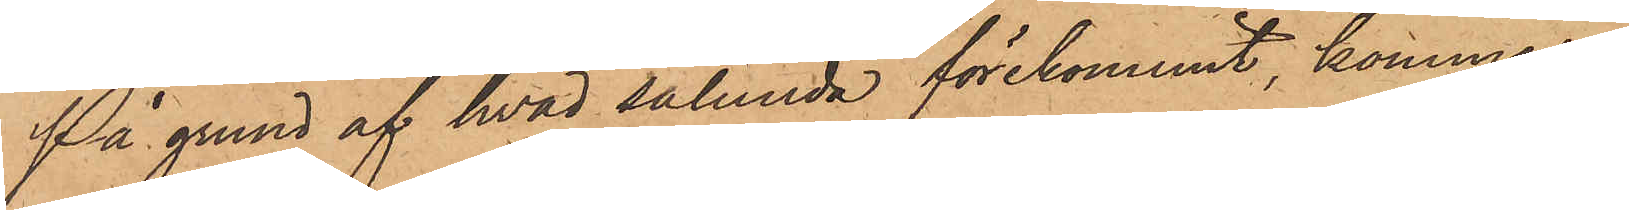På grund af hvad sålunda förekommit, kommer
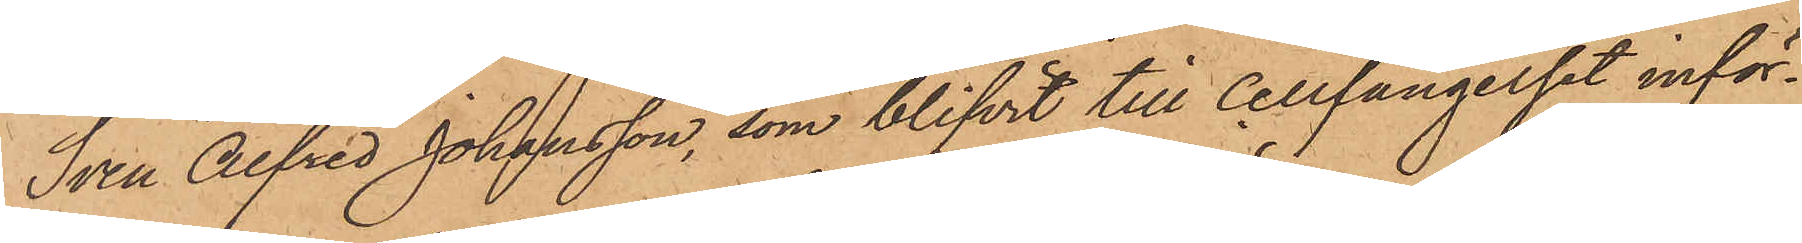Sven Alfred Johansson, som blifvit till Cellfängelset inför¬
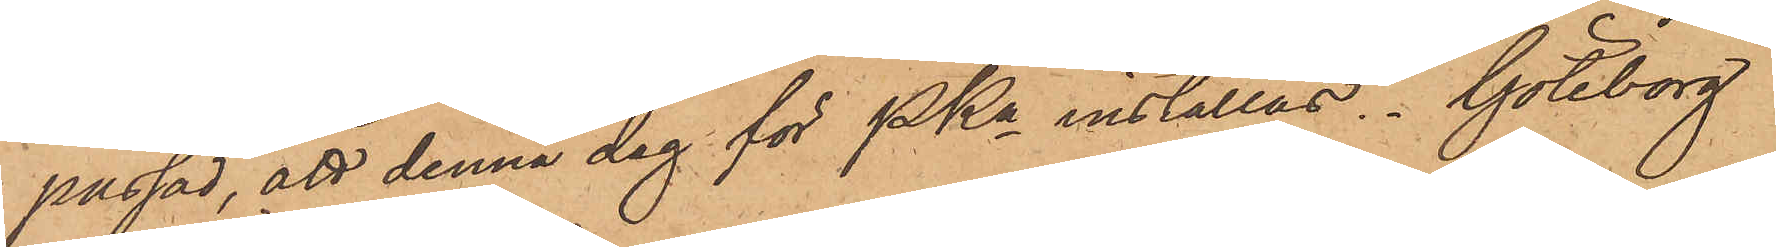passad, att denna dag för PKn inställas. Göteborg
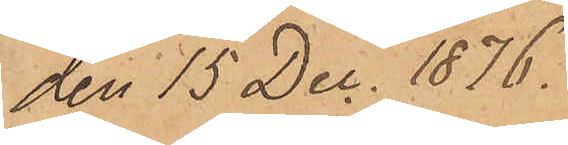den 15 Dec. 1876.
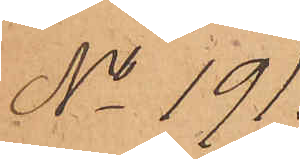No 191
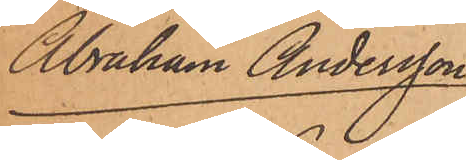Abraham Andersson
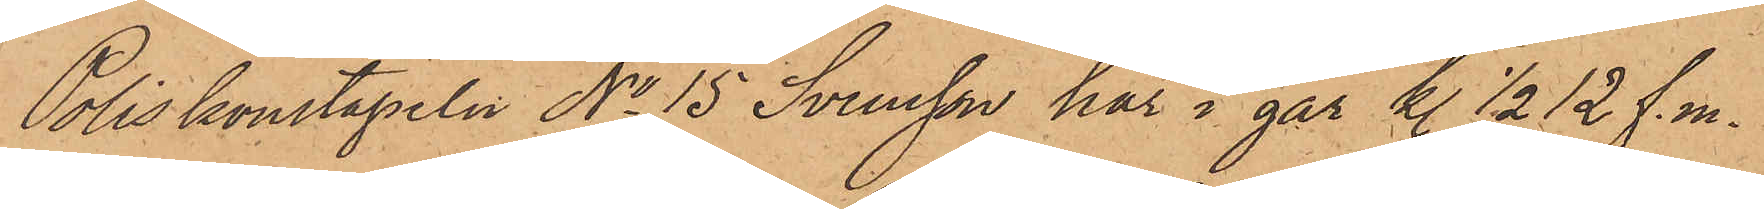Poliskonstapeln No 15 Svensson har i går kl. ½ 12 f. m.
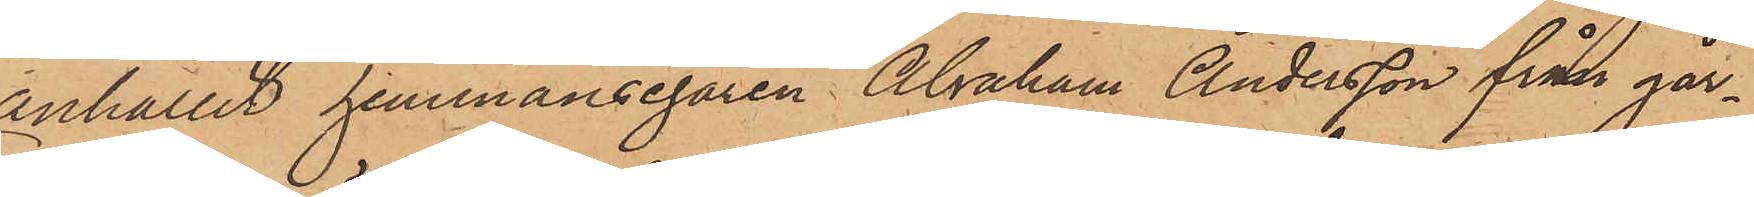anhållit hemmansegaren Abraham Andersson från går¬
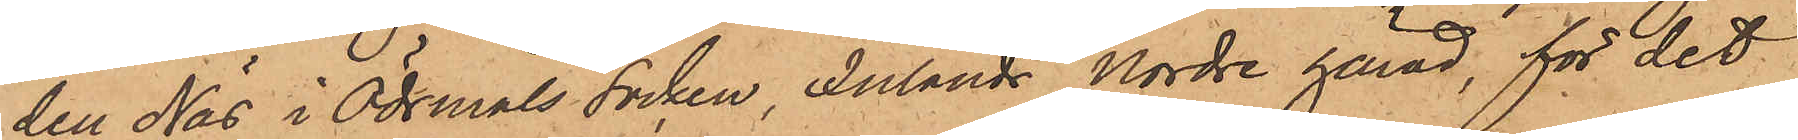den Näs i Ödsmåls Socken, Inlands Nordre härad, för det
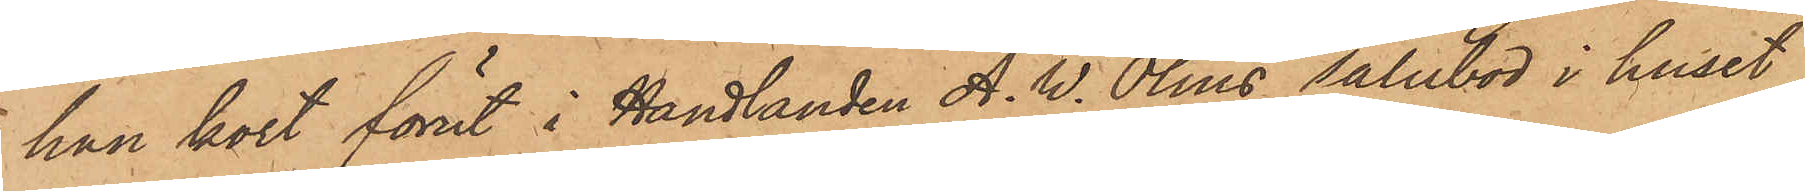han kort förut i Handlanden A. W. Olins salubod i huset
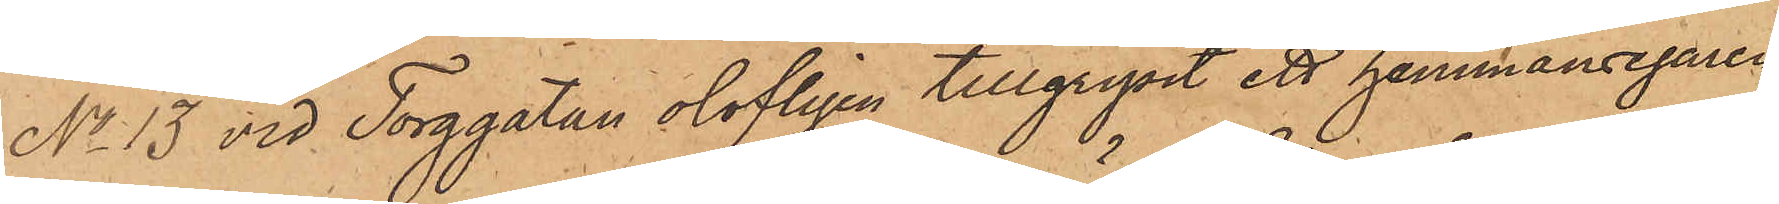No 13 vid Torggatan olofligen tillgripit ett hemmansegaren
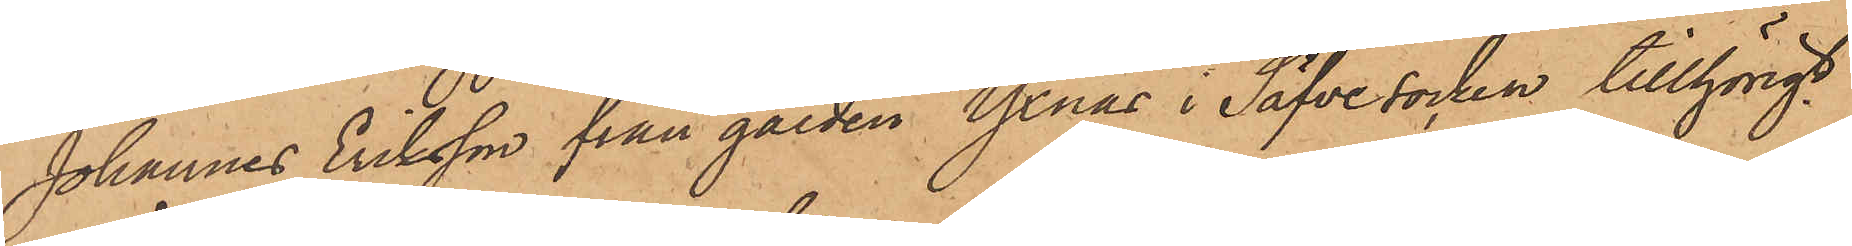Johannes Eriksson från gården Yxnäs i Säfve socken tillhörigt
